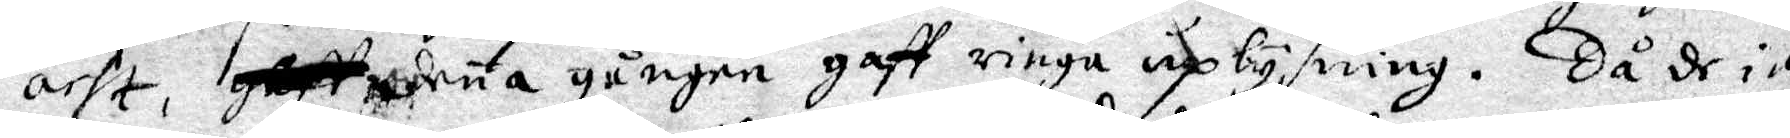acht, denne gången gaff ringa uplysning, Då de in¬
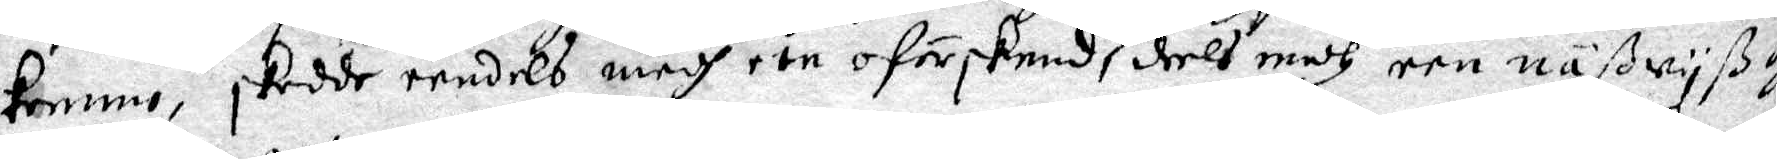komma, skedde eendels medh een oförskemd deels medh een näßwyß och
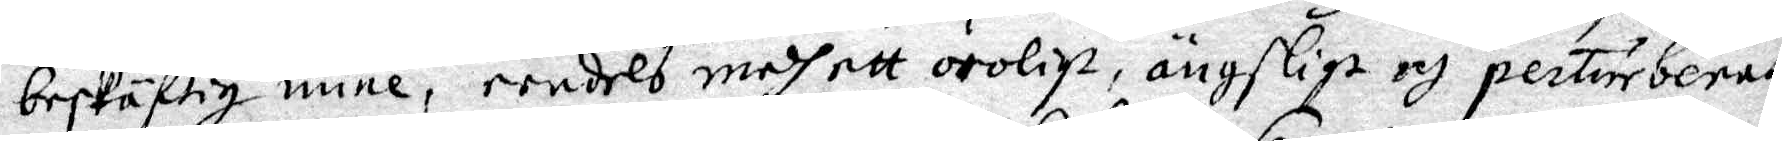beskäftig mine, eendels medh oroligt, ängsligt och perturberat
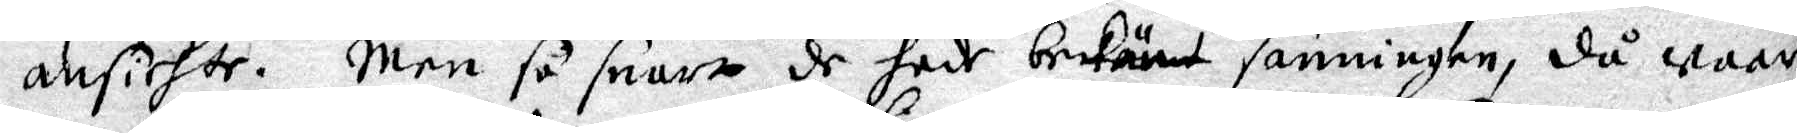ansichte. Men så snart de hade bekänt sanningen, då waar
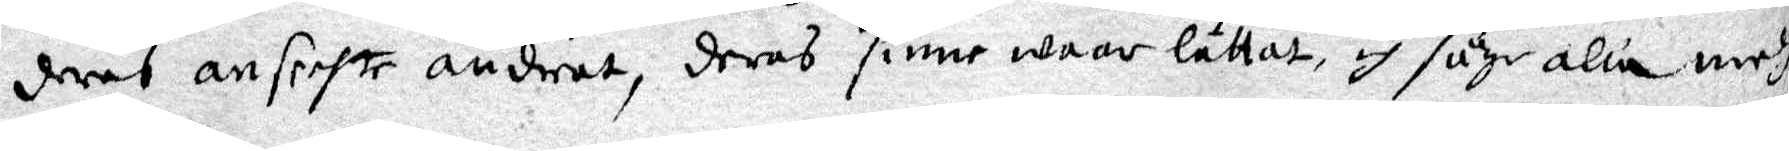deras ansichte ändrat, deras sinne waar lättat, och såge alla medh
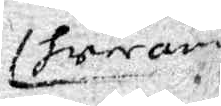hwarandre
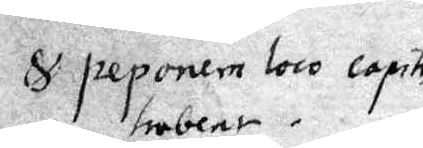S peponera loco capitis
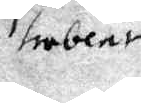trobene.
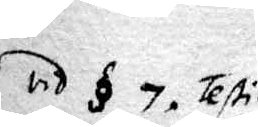vid § 7 Testi¬
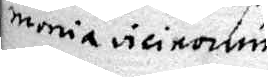menia vicironum
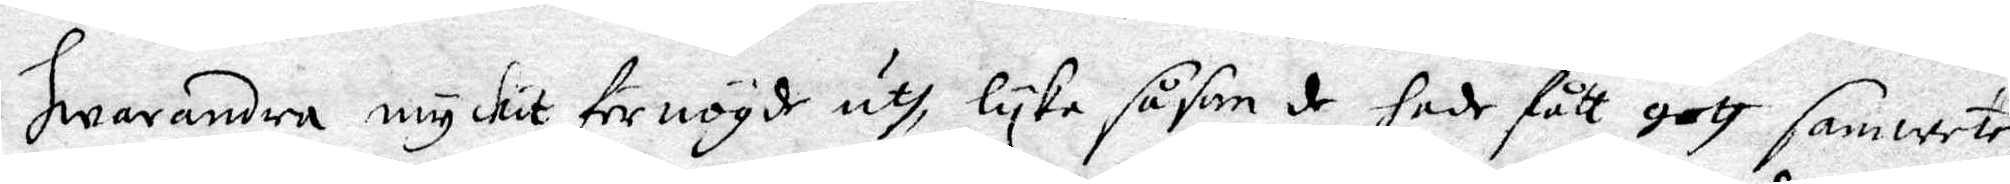hwarandra myckit förnögde uth, lyka såsom de hade fått gott samwete
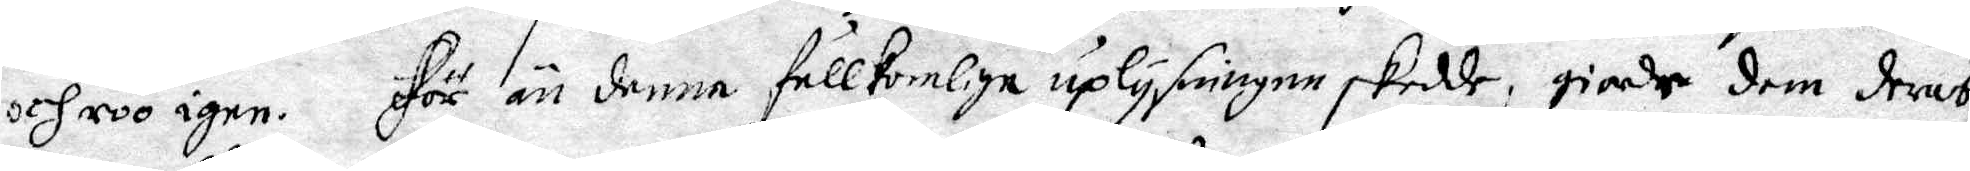och roo igen. För än denna fullkomliga uplysningen skedde; giorde dem deras
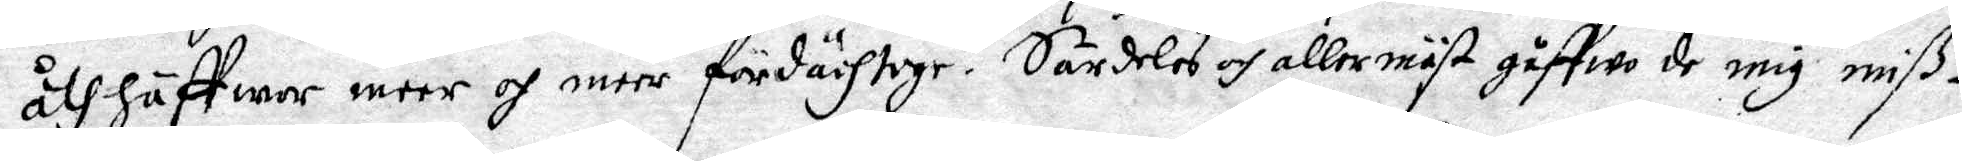åthhäffwar meer och meer fördächtoge. Särdeles allermäst giffwo mig miß¬
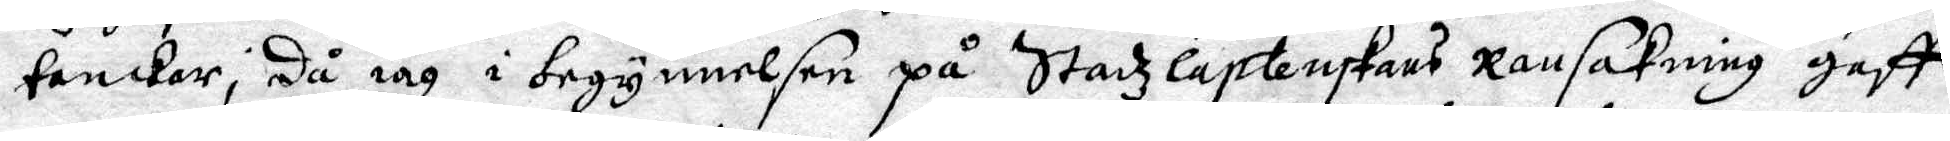tanckar, då iag i begynnelsen på Stadzcaptenskans Ransakning gaff
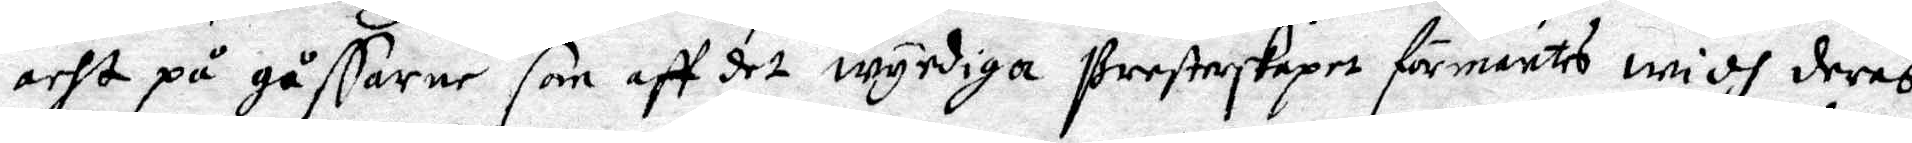acht på gåssarne som aff det wyrdiga Presterskapet förmantes widh deras
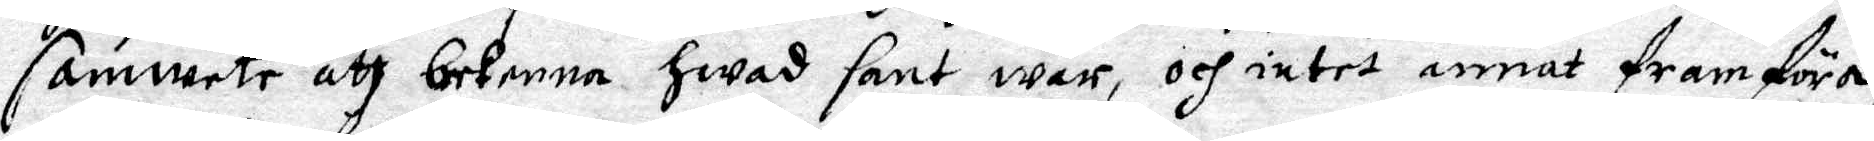samwete att bekenna hwad sant war, och intet annat framföra,
